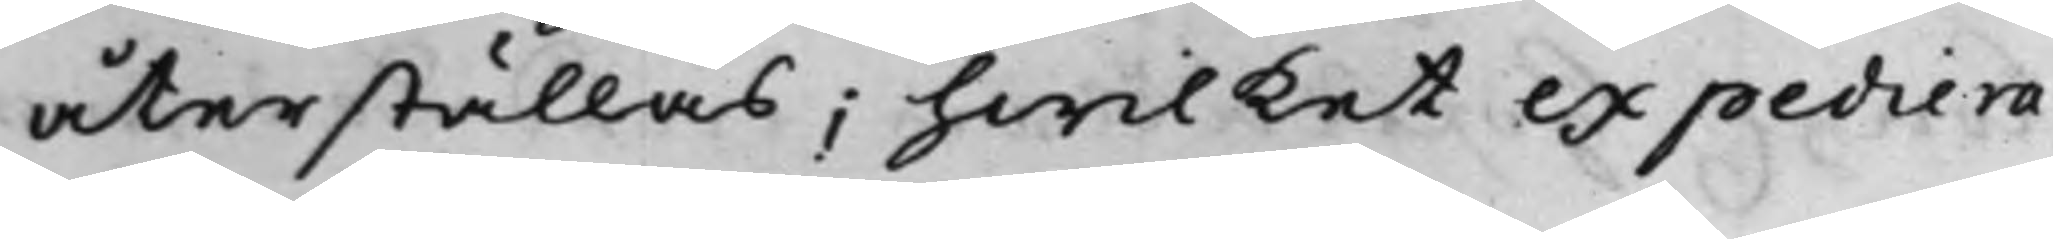återställas; hwilket expediera¬
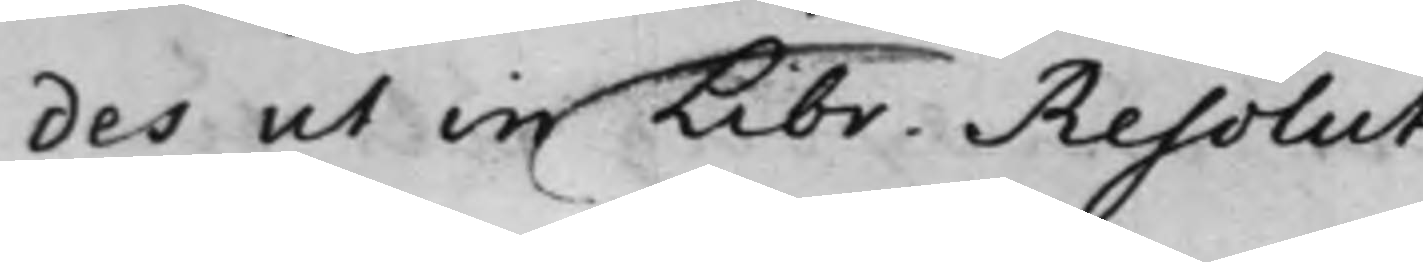des ut in Libr. Resolut.
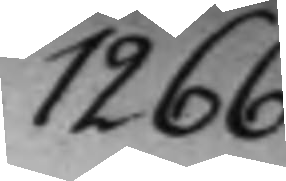1266.
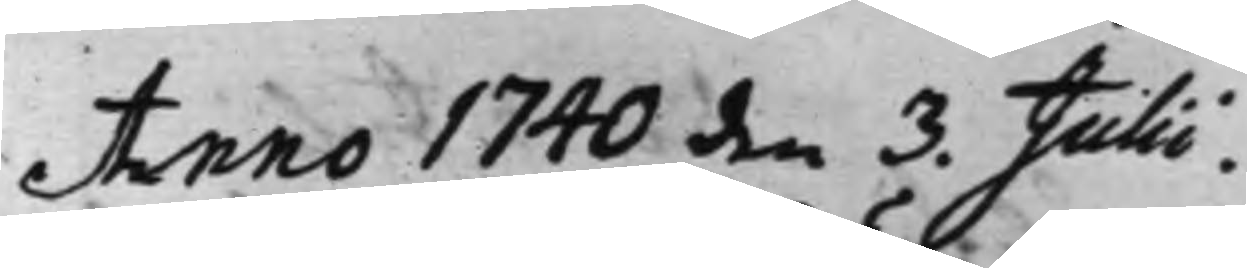Anno 1740 den 3. Julii.
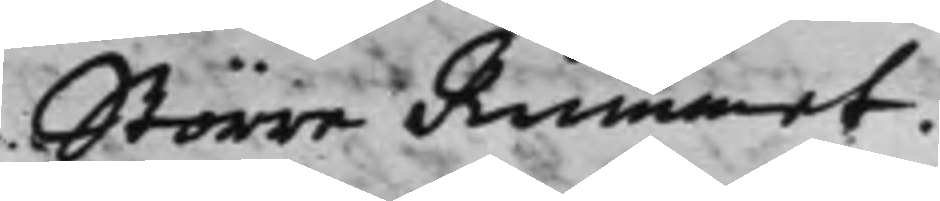Större Rummet.
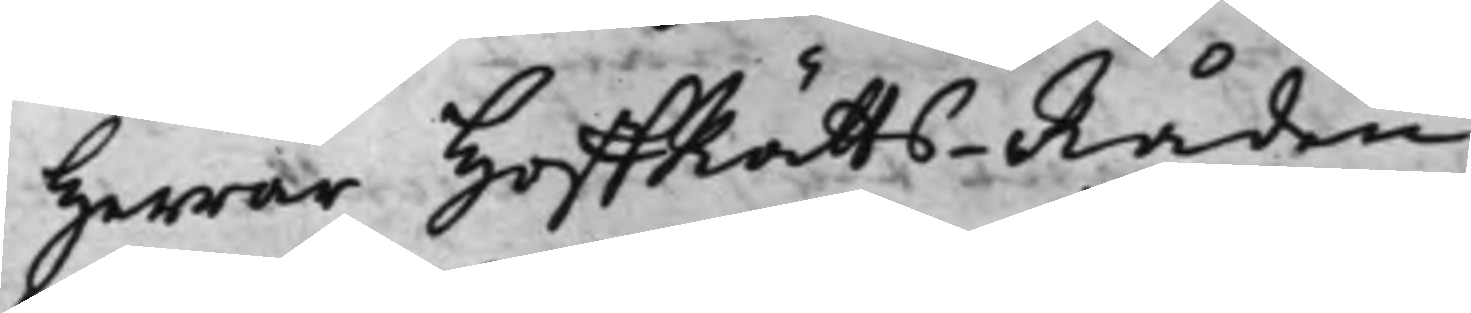Herrar HoffRätts-Råden
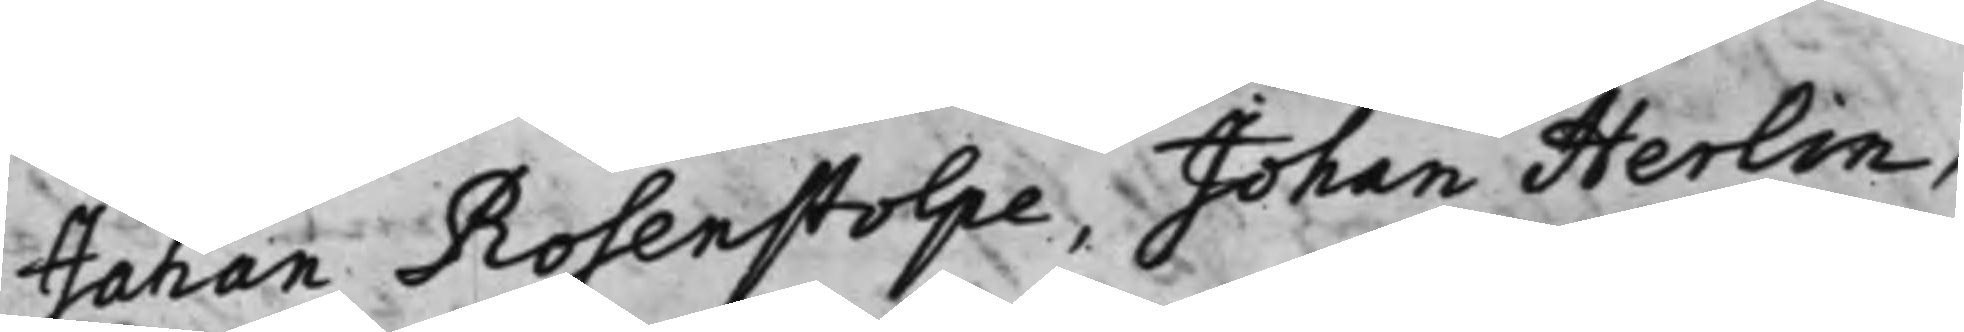Johan Rosenstolpe, Johan Herlin,
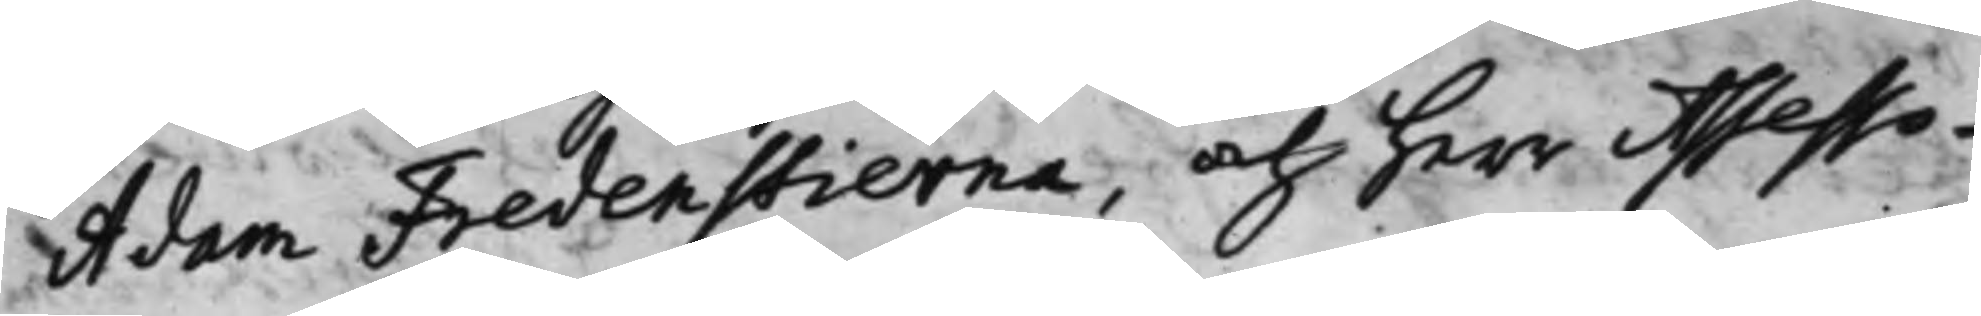Adam Fredenstierna, och herr Assesso¬
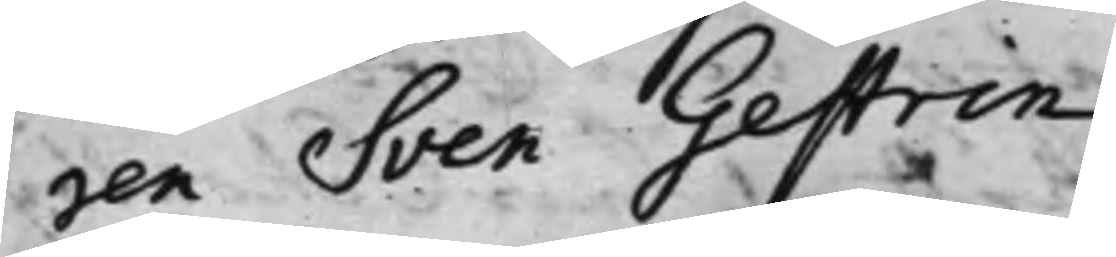ren Sven Gestrin.
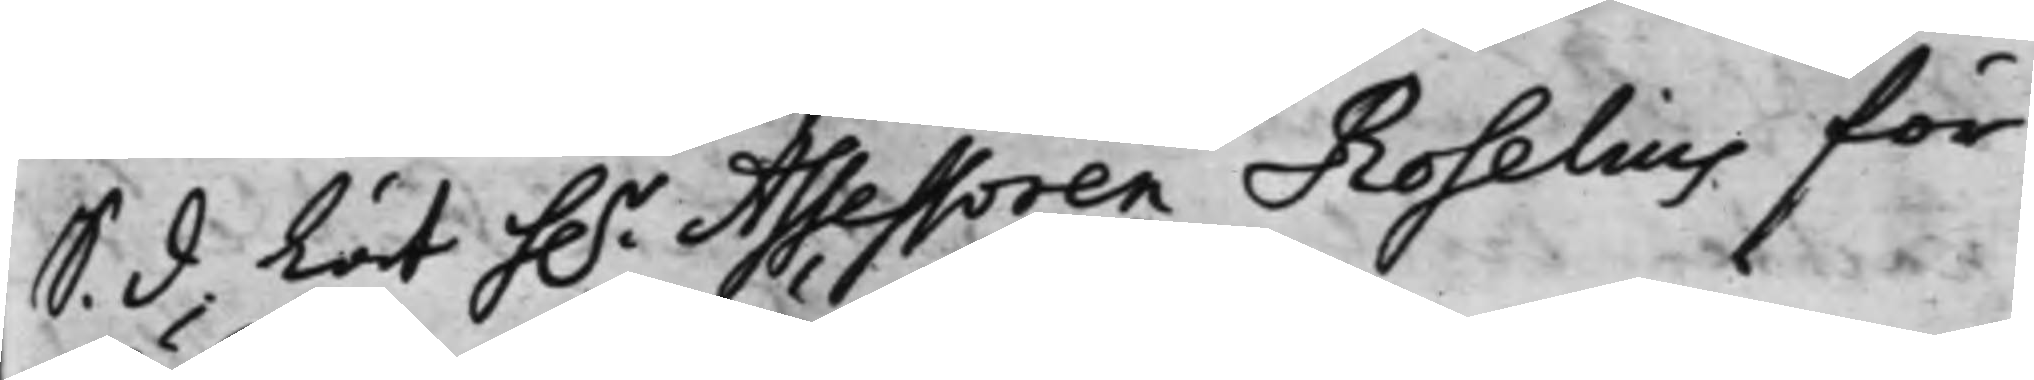S. d Lät h.r Assessoren Roselius för
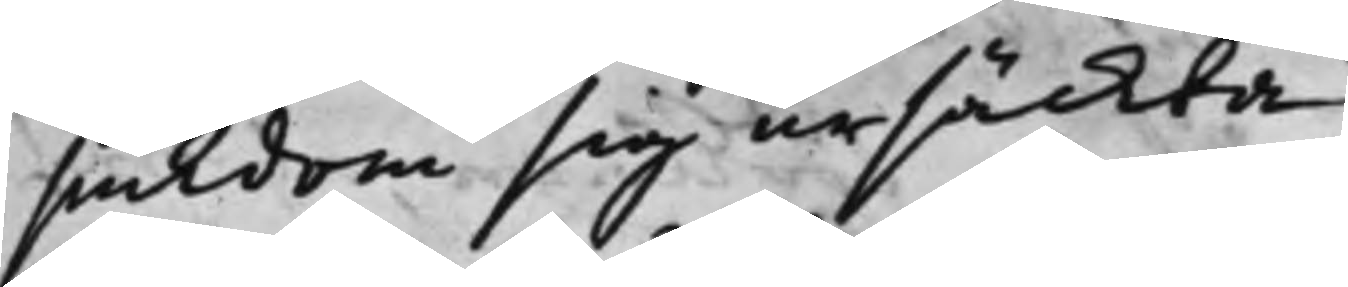siukdom sig ursäckta.
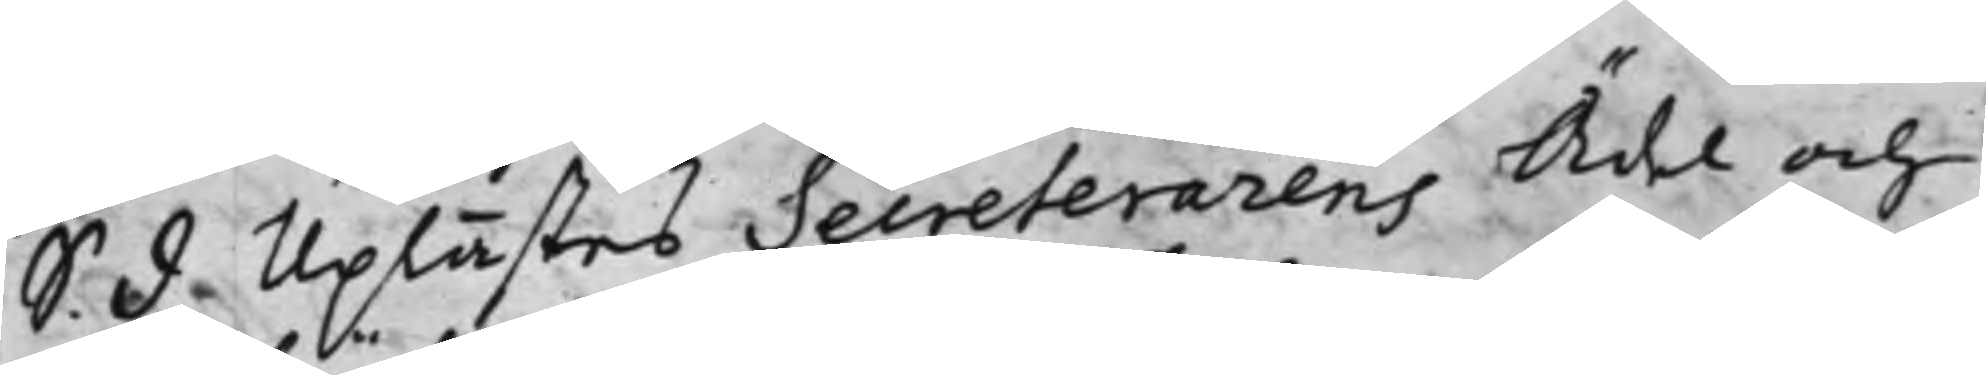S. d Uplästes Secreterarens Ädel och
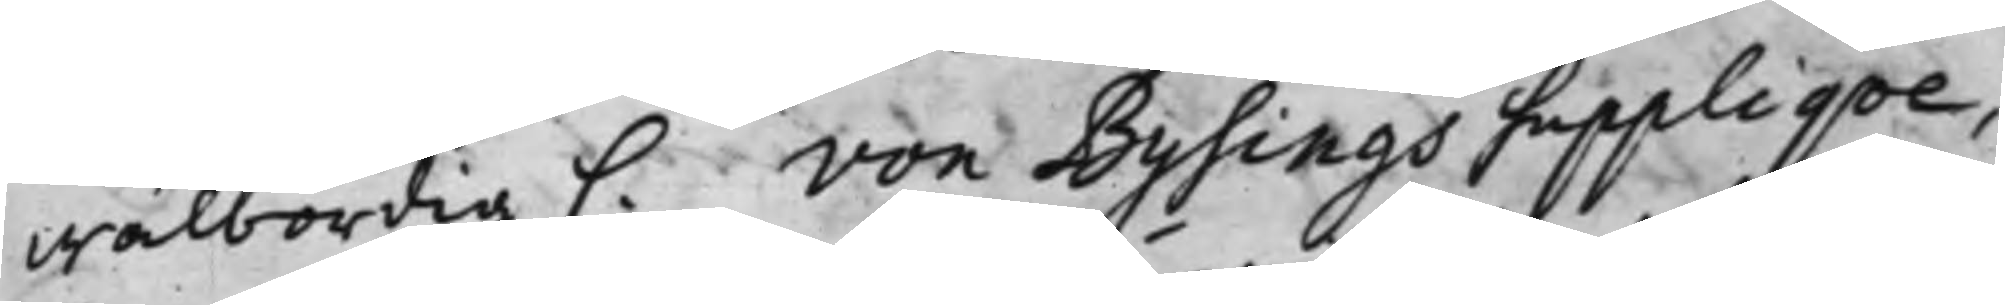wälbördig C. von Bysings suppliqve,
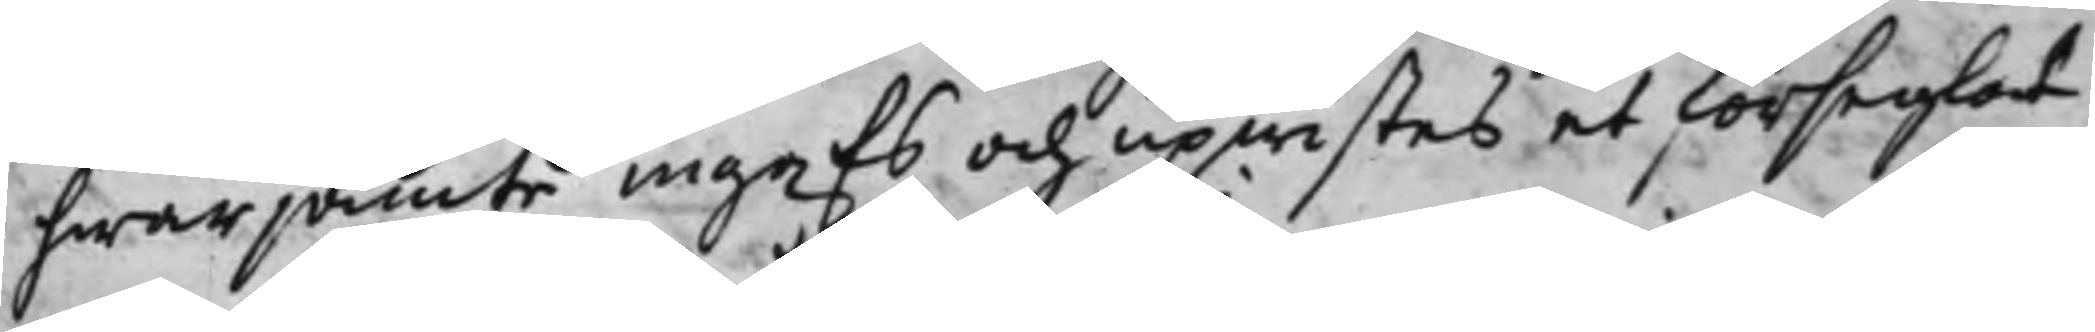hwarjämte ingafs och upwistes et förseglat
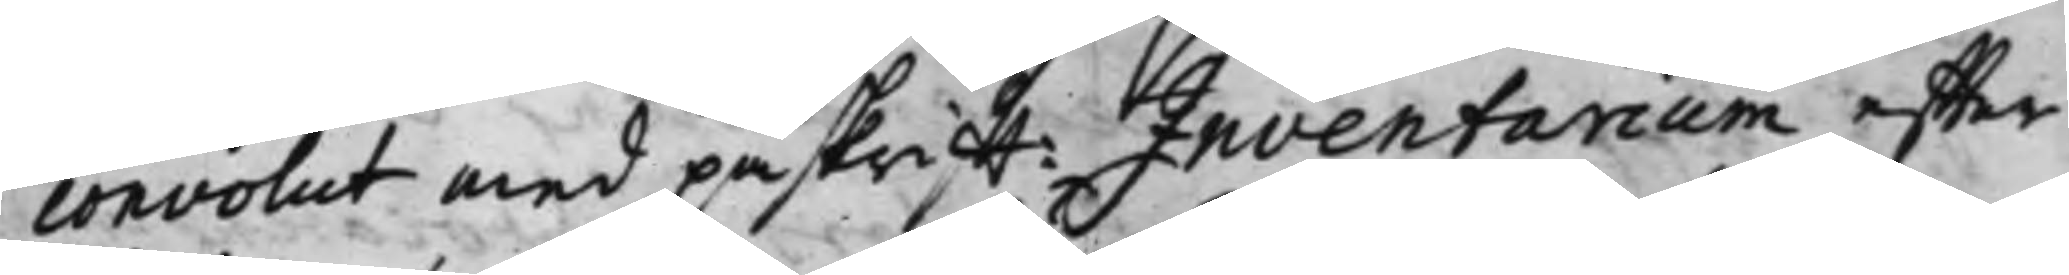convolut med påskrifft: Inventarium effter
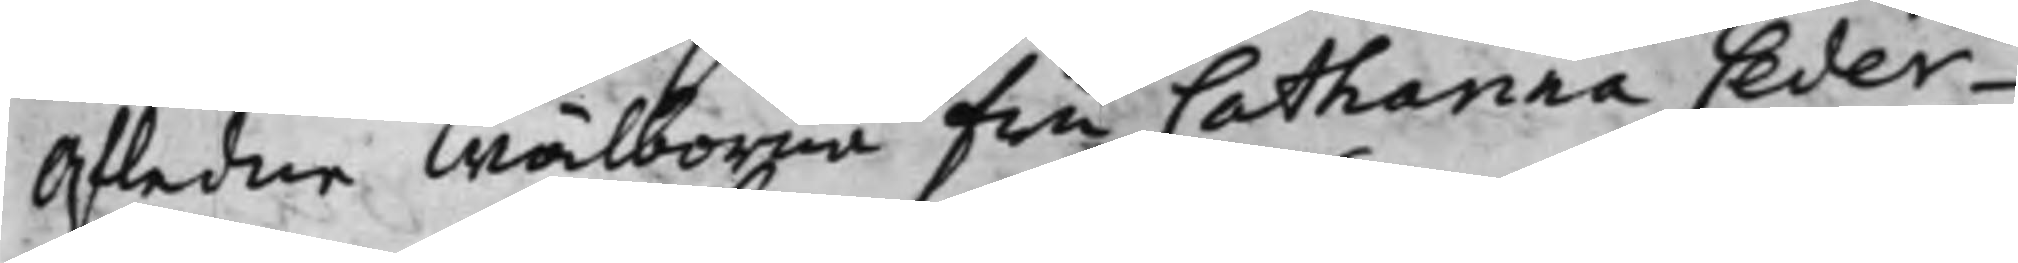Afledne Wälborna Fru Catharina Ceder¬
